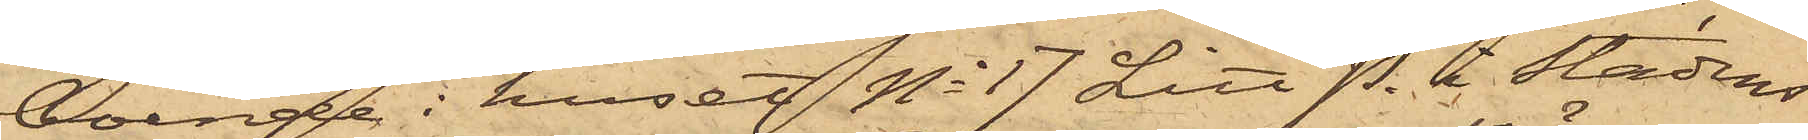boende i huset No 17 Litt P. i stadens
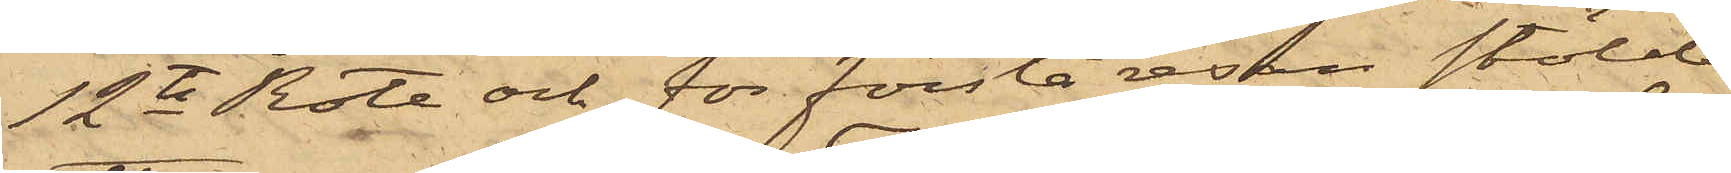12te Rote och för första resan stöld
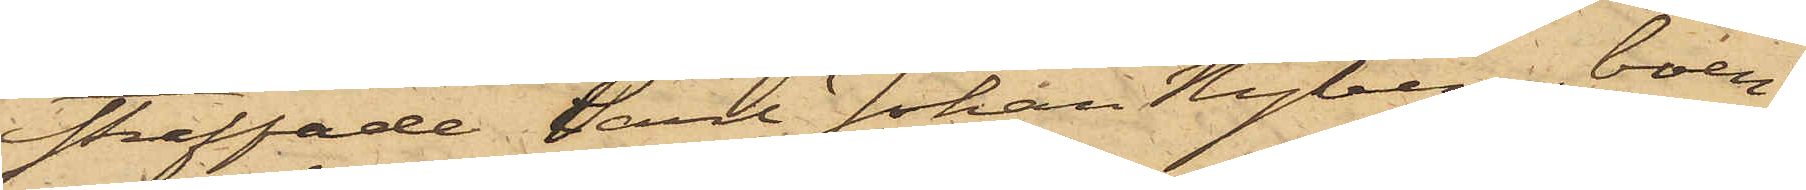straffade Carl Johan Nyberg, boen¬
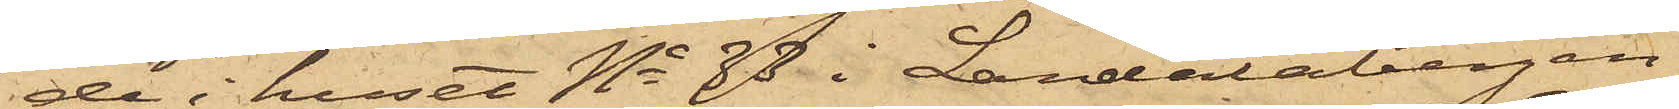de i huset No 33 i Landalabergen,
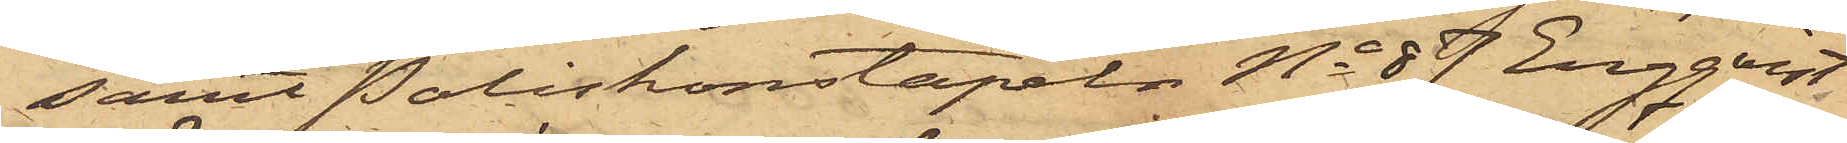samt Poliskonstapeln No 87 Engqvist
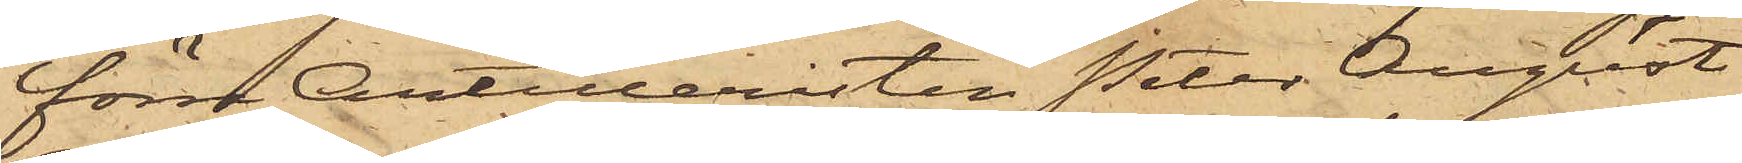förre Artilleristen Peter August
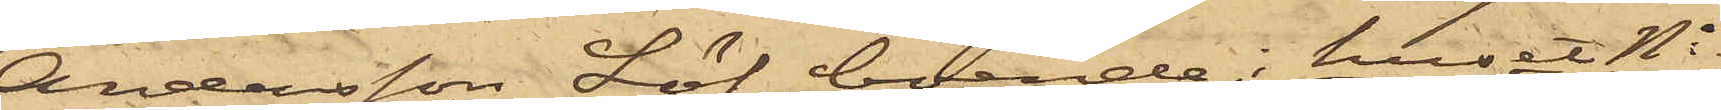Andersson Löf, boende i huset No
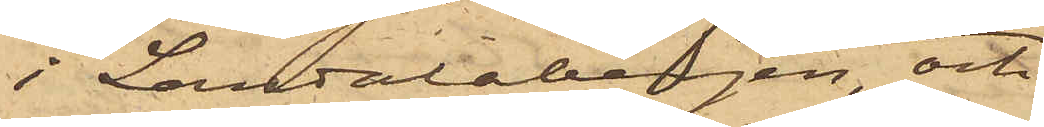i Landalabergen, och
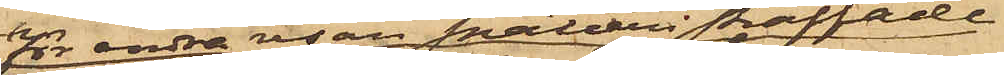för andra resan snatteri straffade
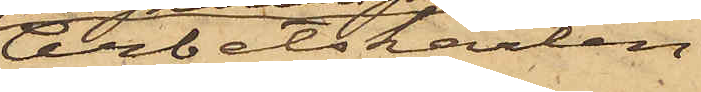Arbetskarlen
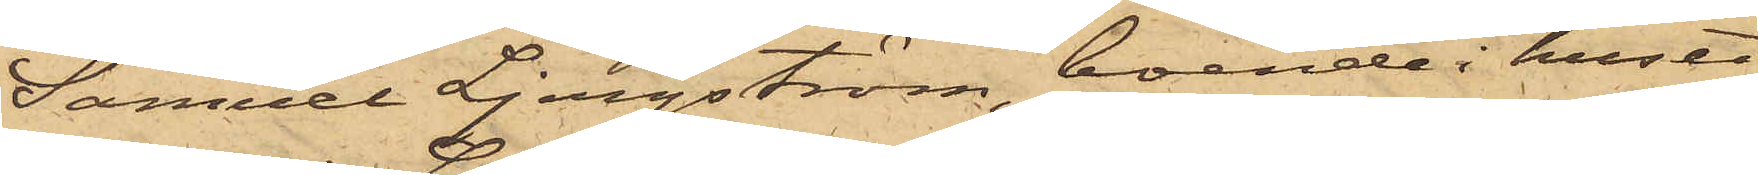Samuel Ljungström, boende i huset
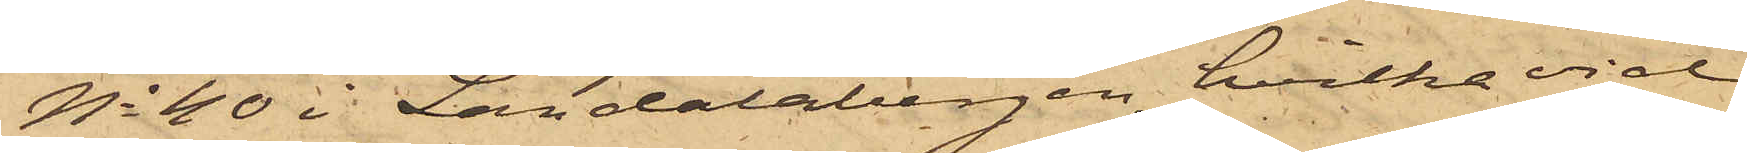No 40 i Landalabergen, hvilka vid
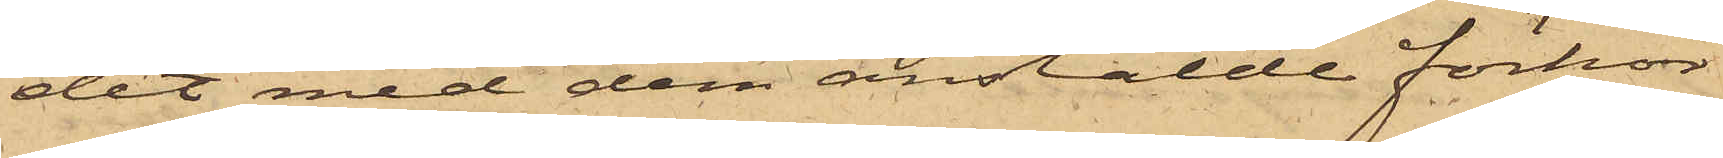det med dem anstälde förhör
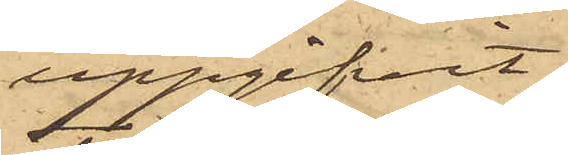uppgifvit.
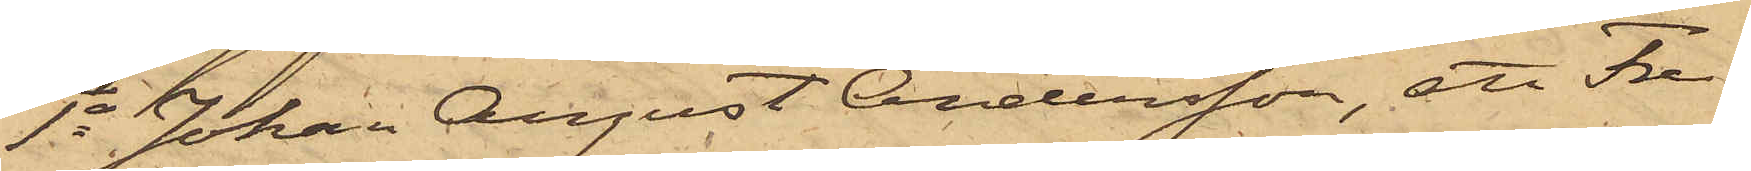1o Johan August Andersson, att Fre¬
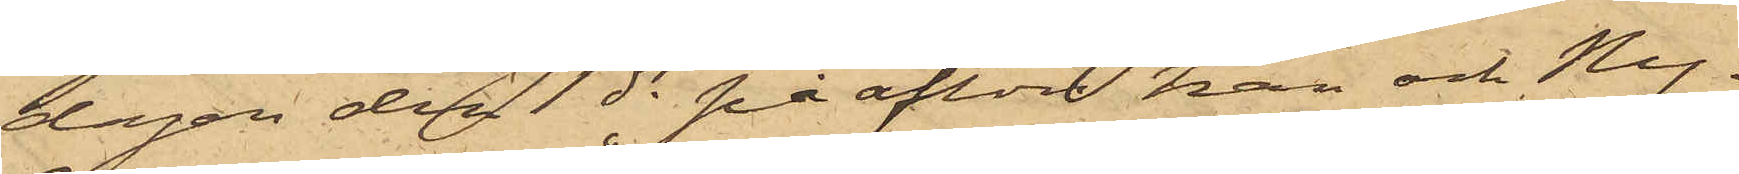dagen den 1 ds på afton han och Ny¬
